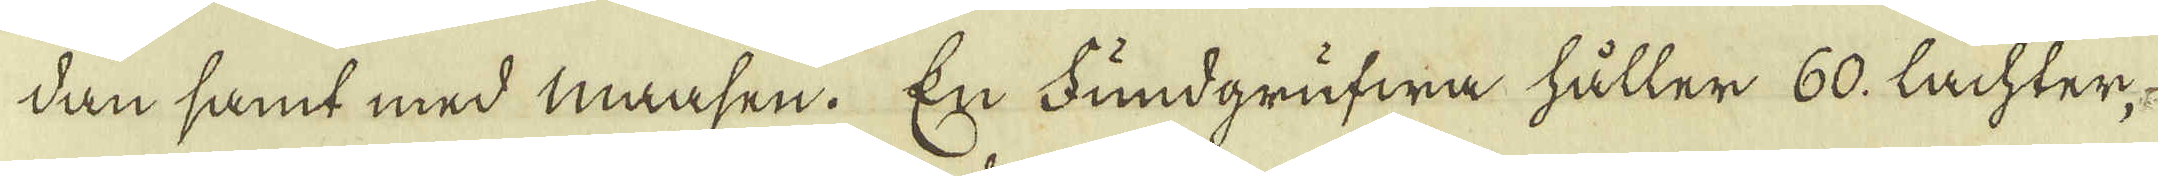dan samt med maasen. En Fundgrufwa håller 60. Lachter-
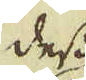dess
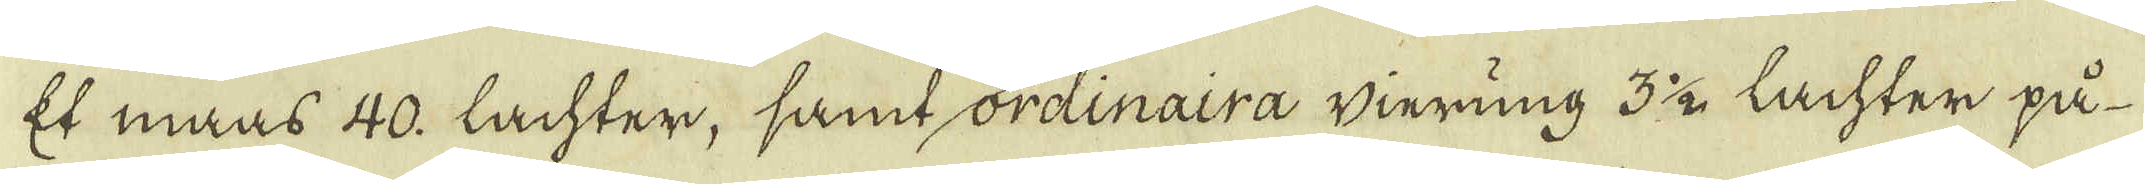Et maas 40. Lachter, samt ordinaira winring 3 1/2 Lachter på
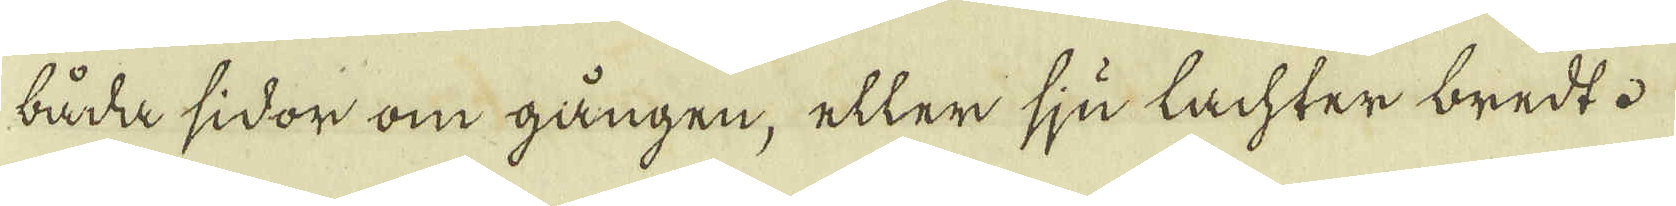båda sidor om gången, eller sju lachter bredt.
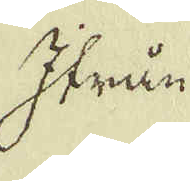Ifrån
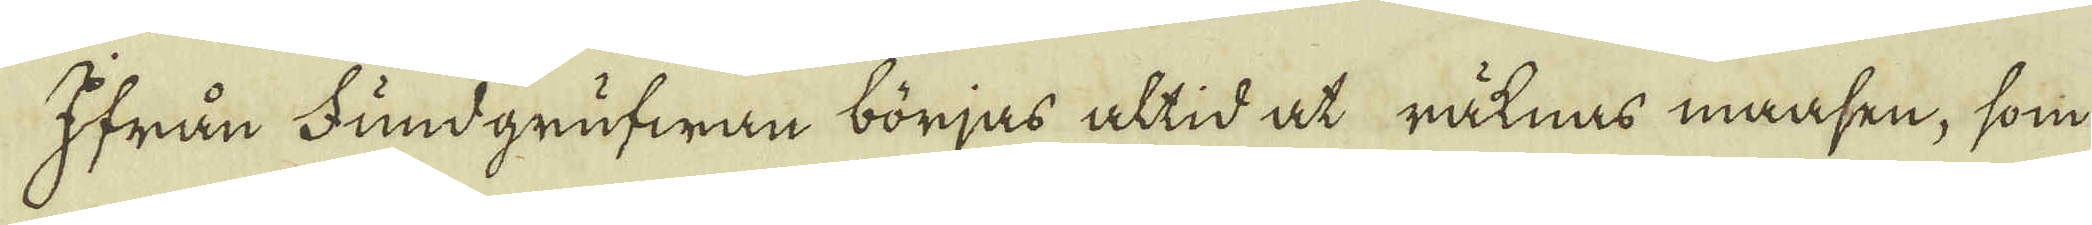Ifrån Fundgrufwan börjas altid at räknas maasen, som
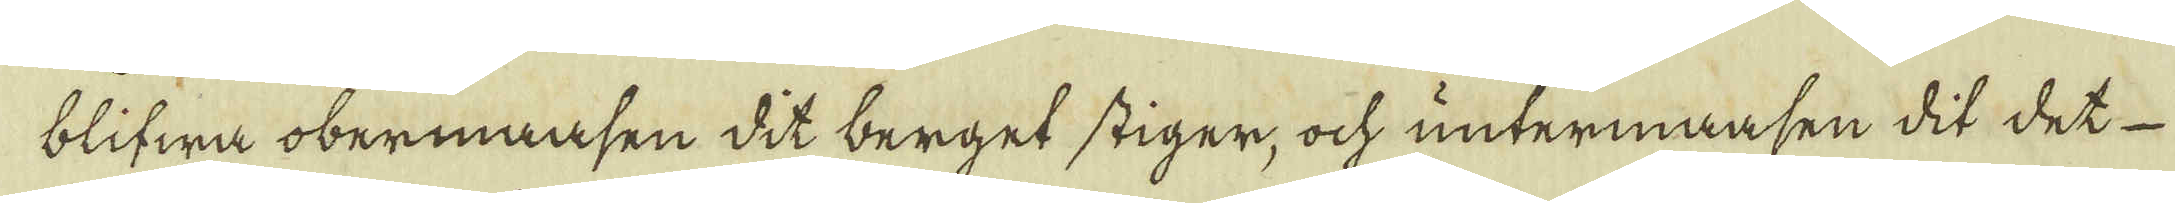blifwa obermaasen dit berget stiger, och untermaasen dit det
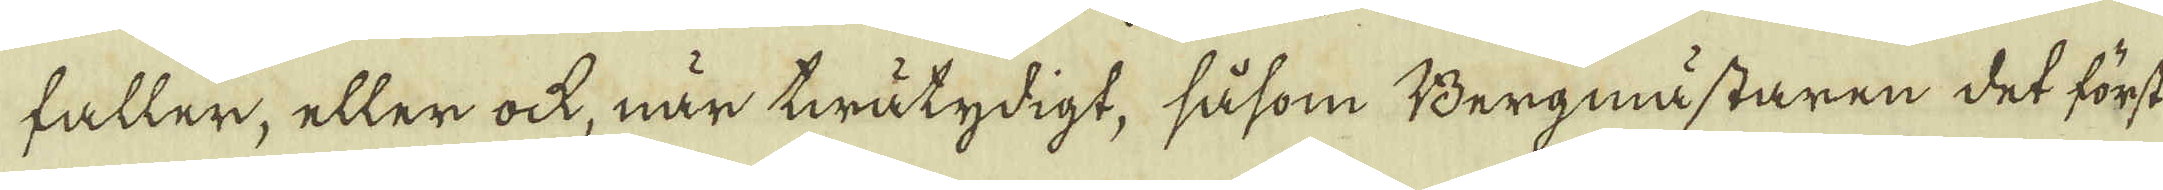faller, eller ock, när twåtydigt, såsom Bergmästaren det först
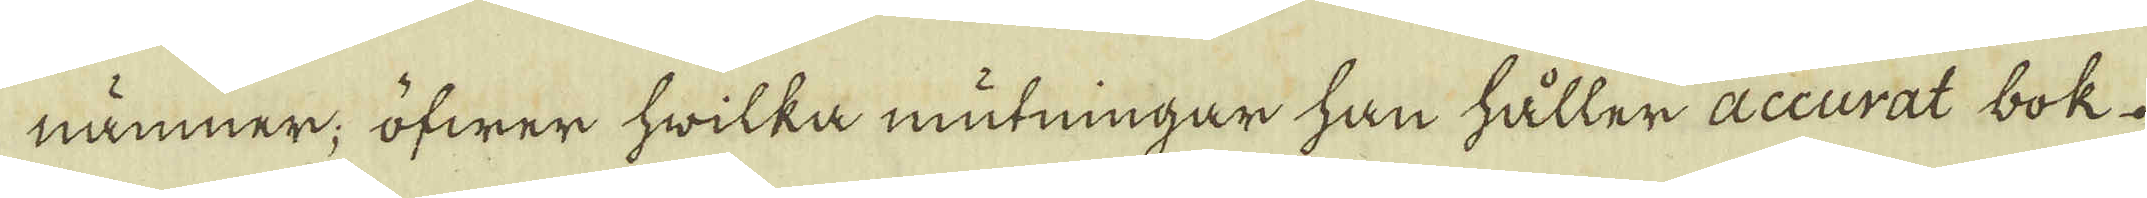nämner; öfwer hwilka mutningar han håller accurat bok.
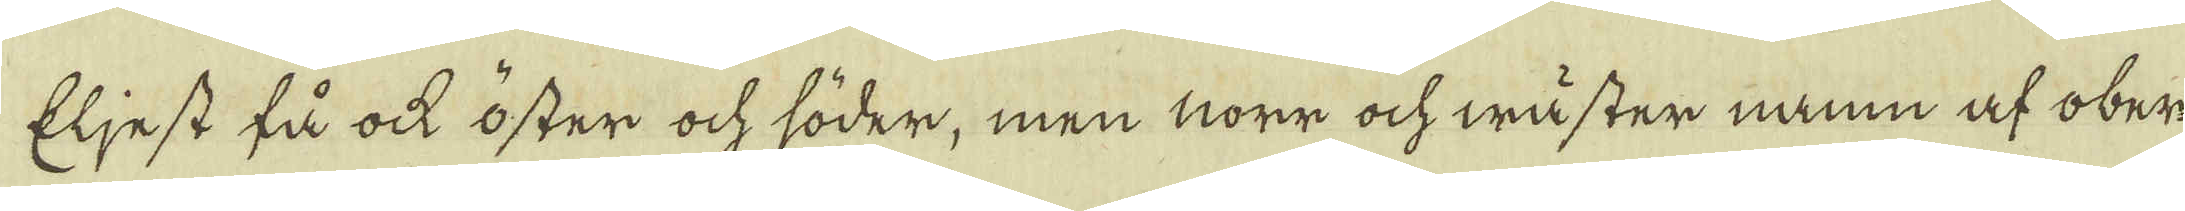Eljest få ock öster och söder, men norr och wäster namn af ober-
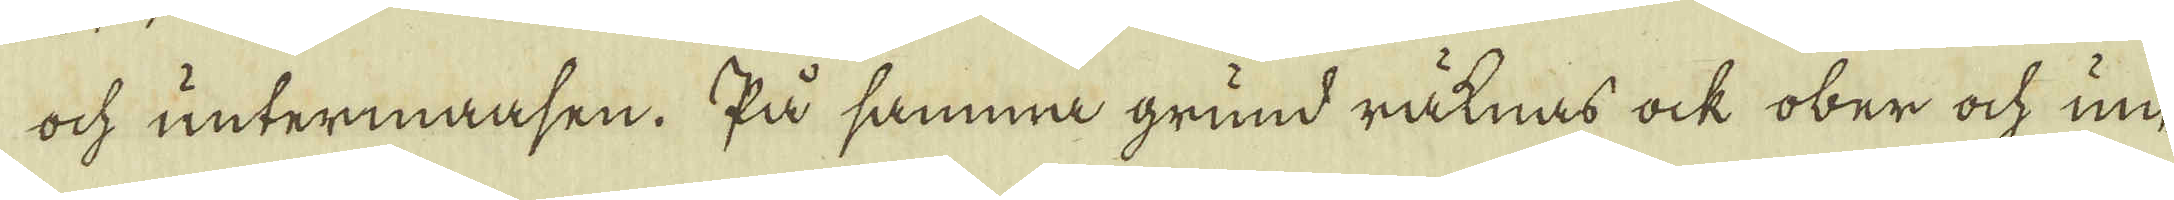och untermaasen. På samma grund räknas ock ober och un-
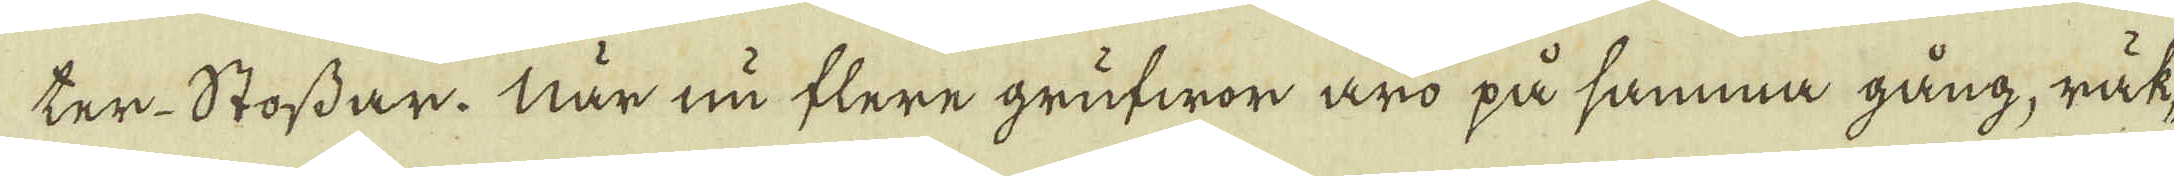ter-Stossar. När nu flere grufwor äro på samma gång, räk-
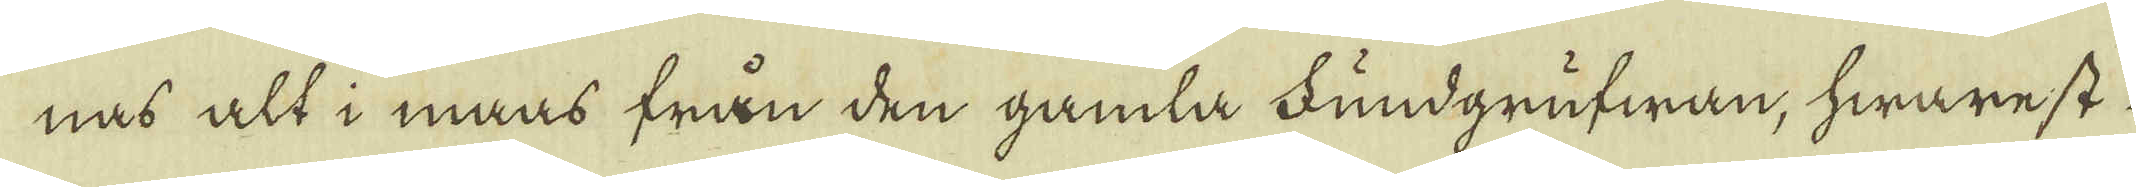nas alt i maas från den gamla Fundgrufwan, hwarest
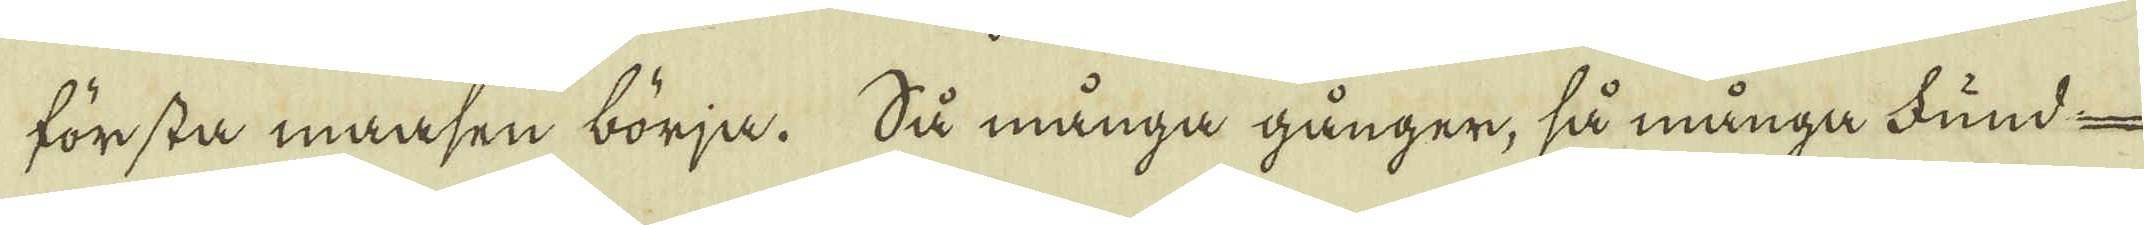första maasen börja. Så många gånger, så många Fund-
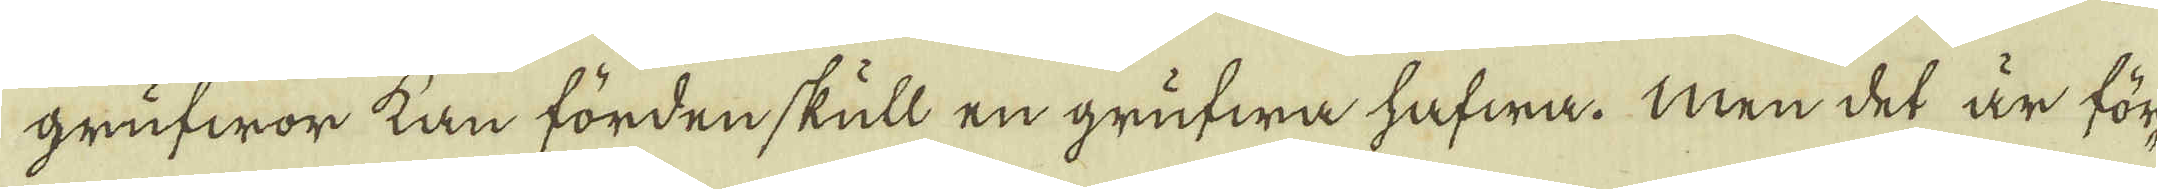grufwor kan fördenskull en grufwa hafwa. Men det är för-
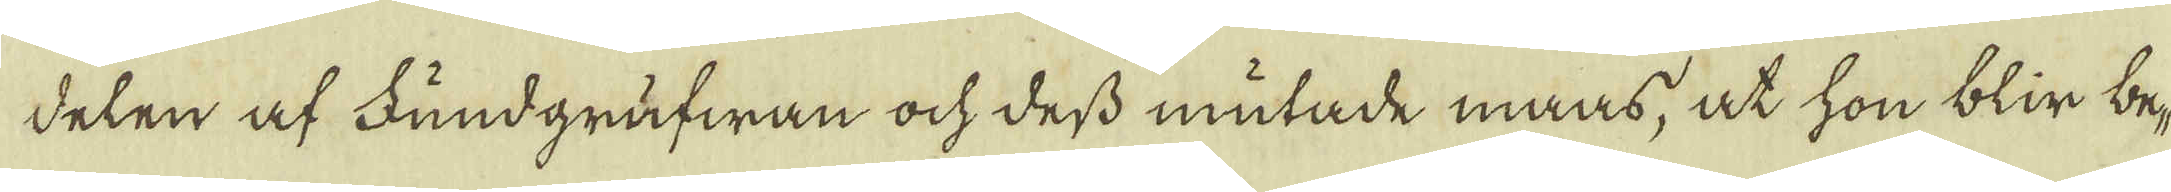delen af Fundgrufwan och dess mutade maas, at hon blir be-
